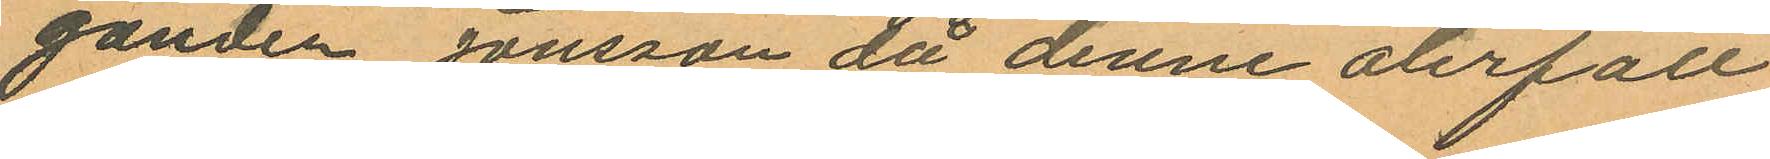ganden Jonsson då denne återfått
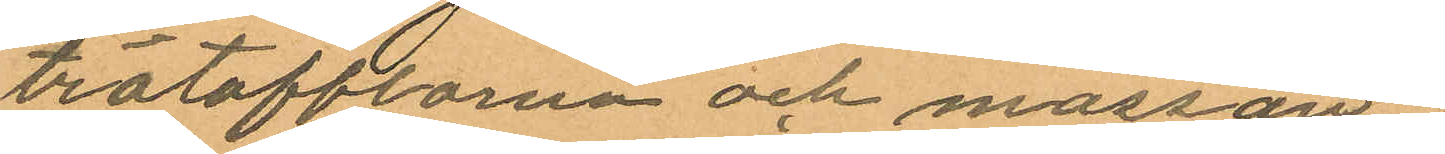trätofflorna och mössan.
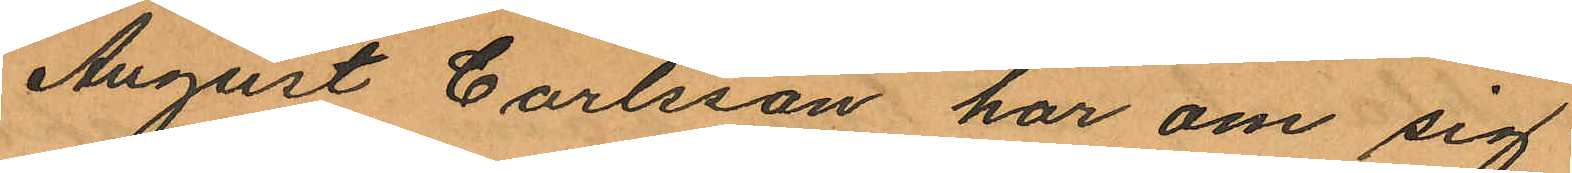August Carlsson har om sig
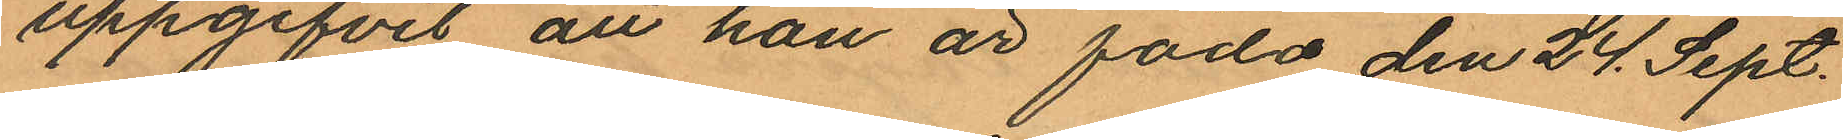uppgifvit att han är född den 24. Sept.
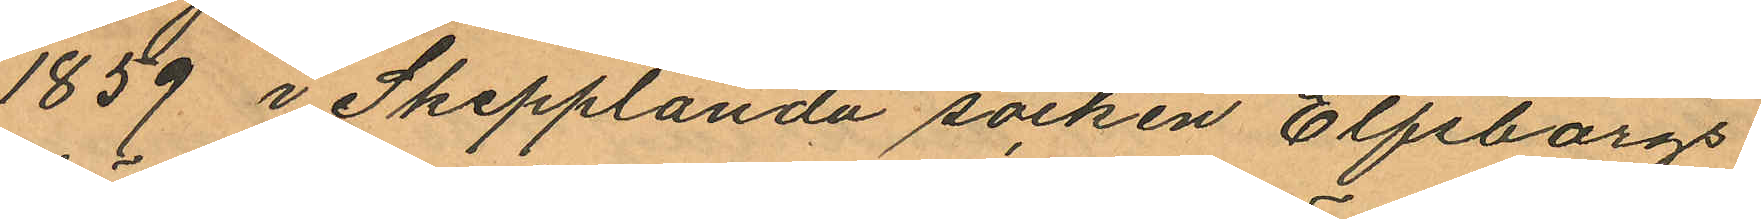1859 i Skepplanda socken Elfsborgs
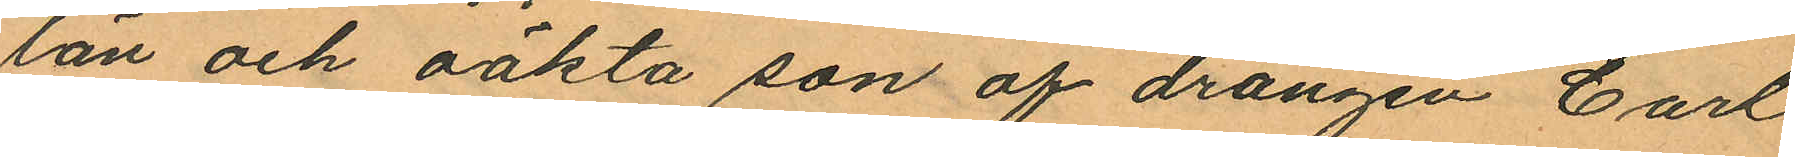län och oäkta son af drängen Carl
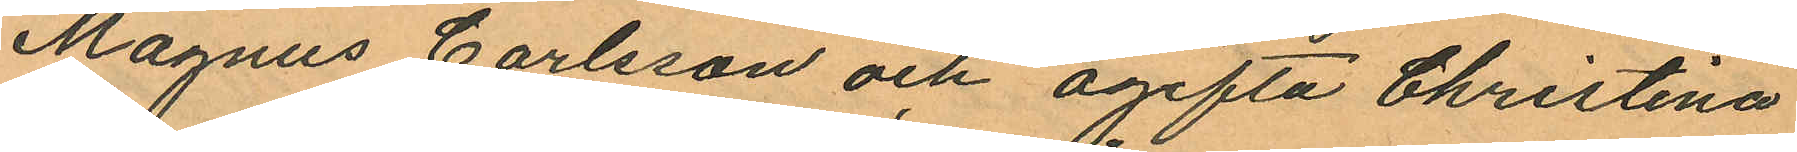Magnus Carlsson och ogifta Christina
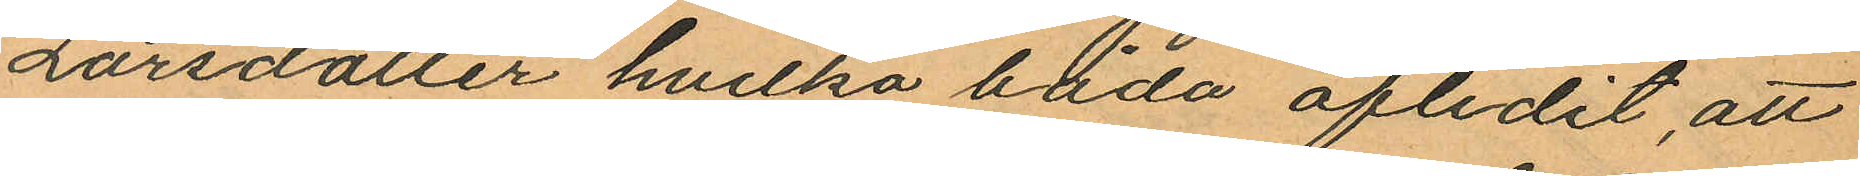Larsdotter hvilka båda aflidit, att
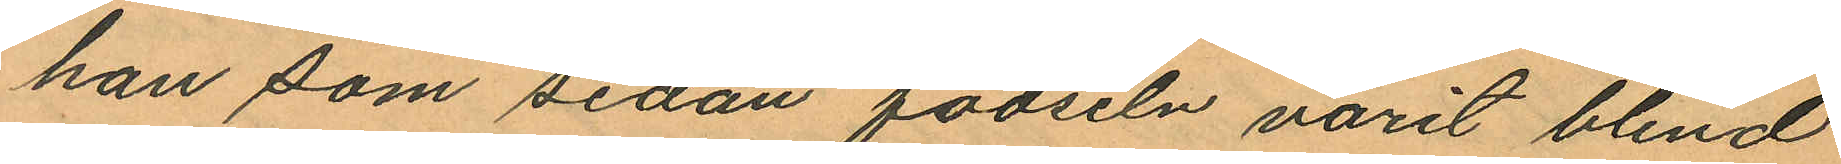han som sedan födseln varit blind
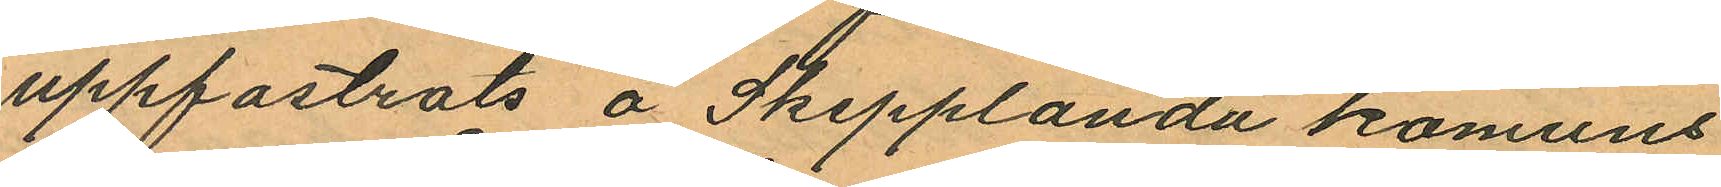uppfostrats å Skepplanda komuns
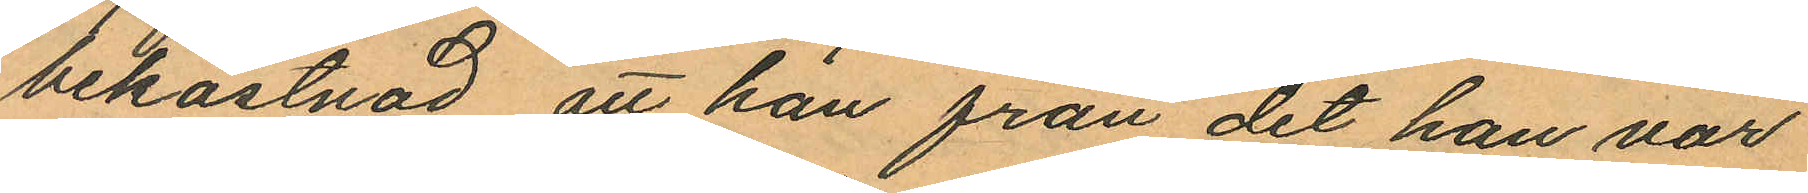bekostnad, att han från det han var
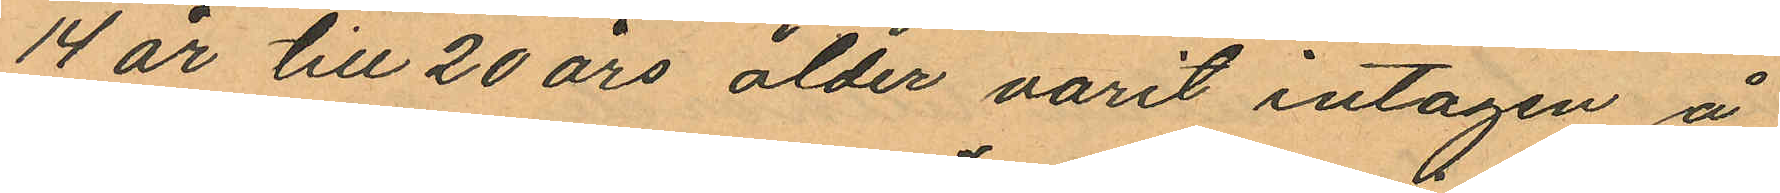14 år till 20 års ålder varit intagen å
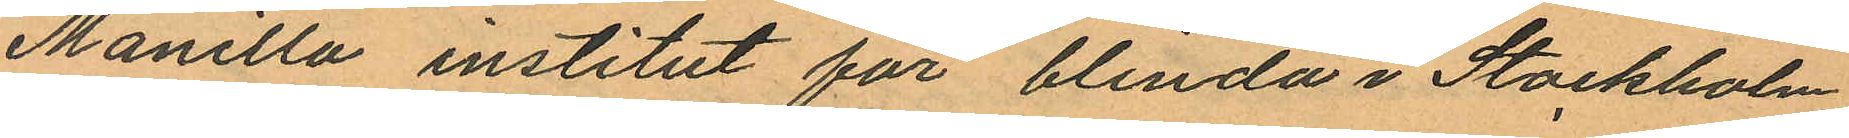Manilla institut för blinda i Stockholm,
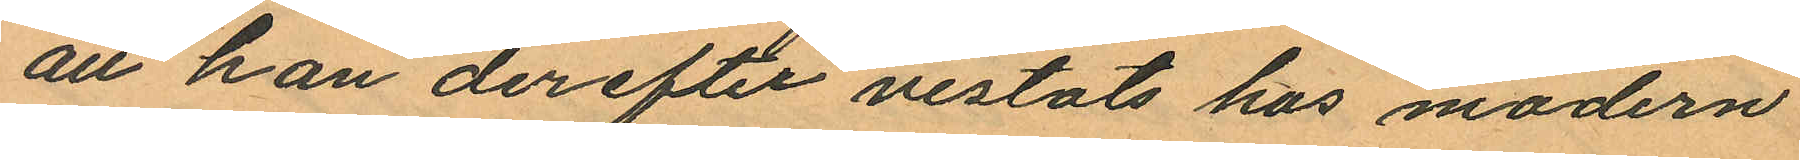att han derefter vistats hos modern
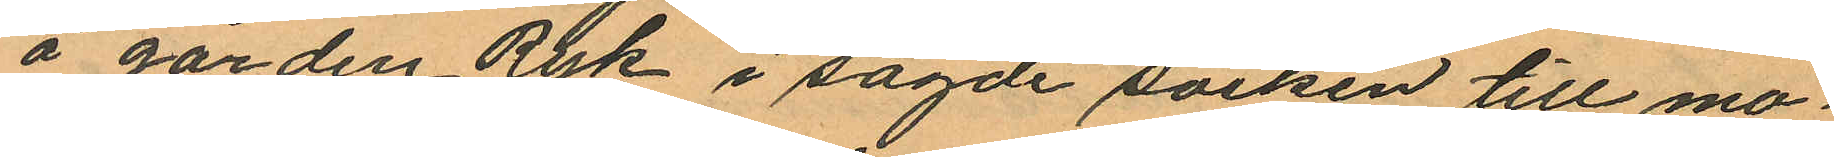å gården Ryk i sagde socken till mo¬
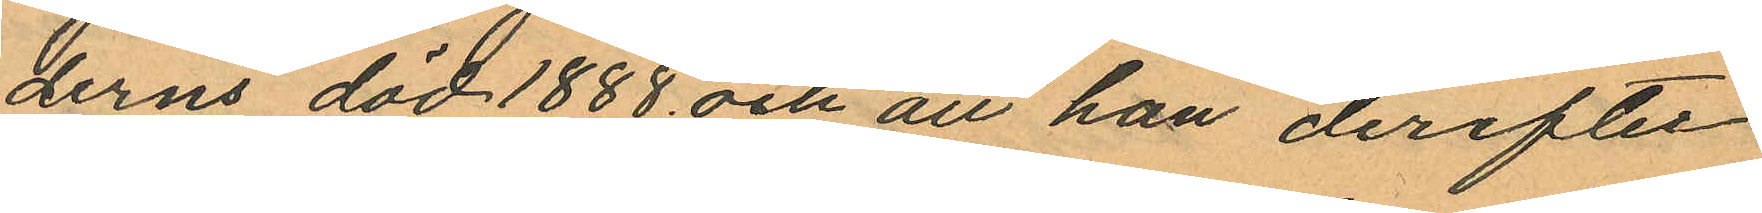derns död 1888 och att han derefter
